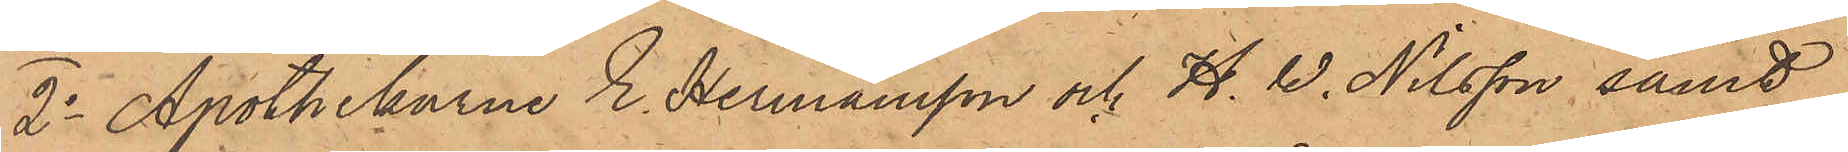2o Apothekarne E. Hermansson och H. W. Nilsson samt
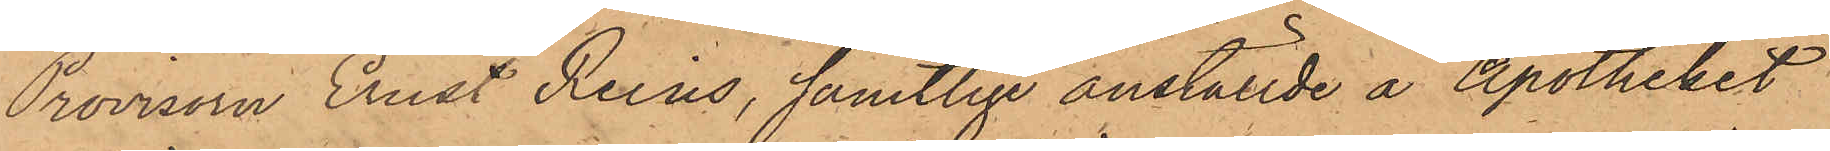Provisorn Ernst Reius, samtlige anställde å Apotheket
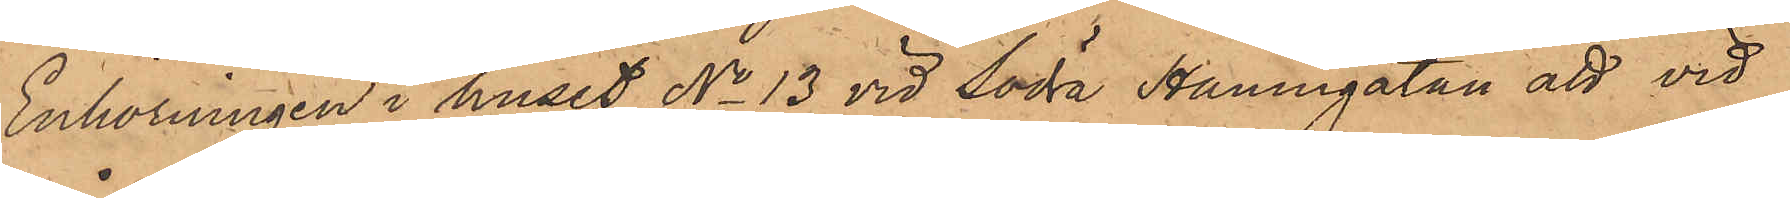Enhörningen i huset No 13 vid Södra Hamngatan att vid
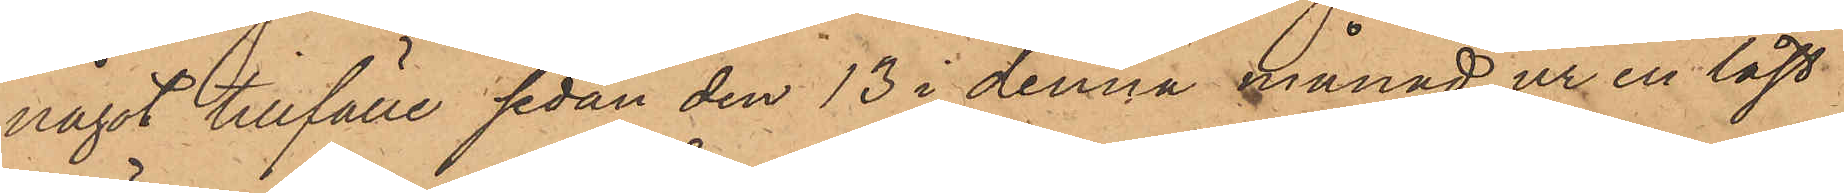något tillfälle sedan den 13 i denna månad ur en låst
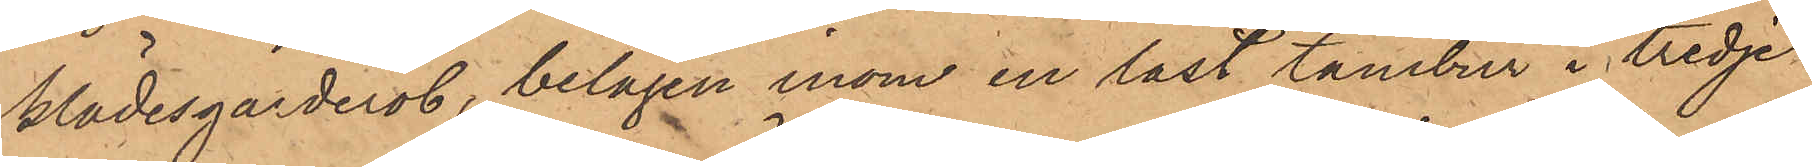klädesgarderob, belägen inom en låst tambur i tredje
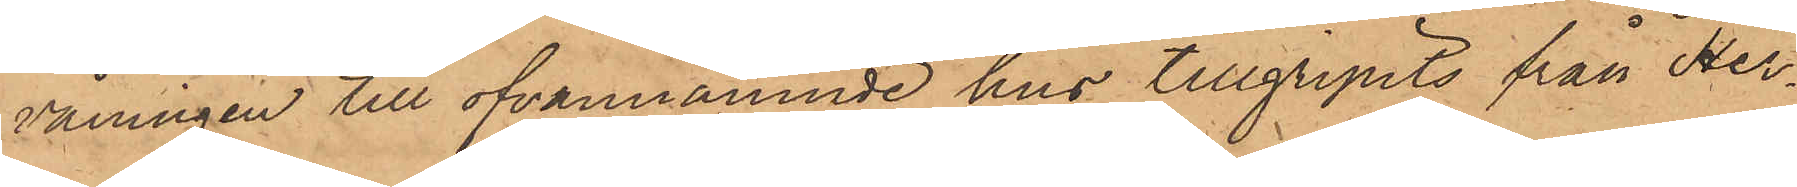våningen till ofvannämnde hus tillgripits från Her¬
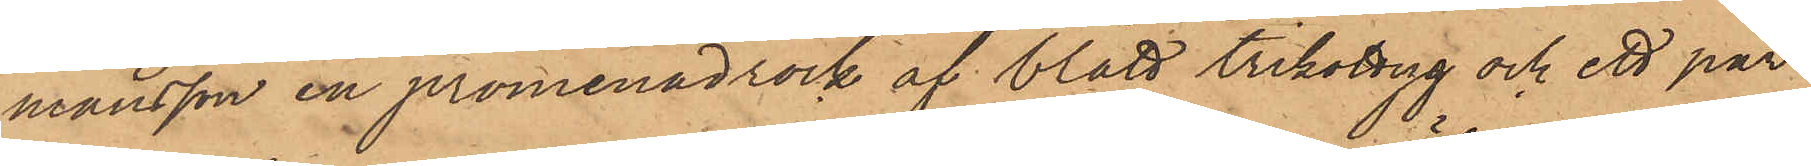mansson en promenadrock af blått trikottyg och ett par
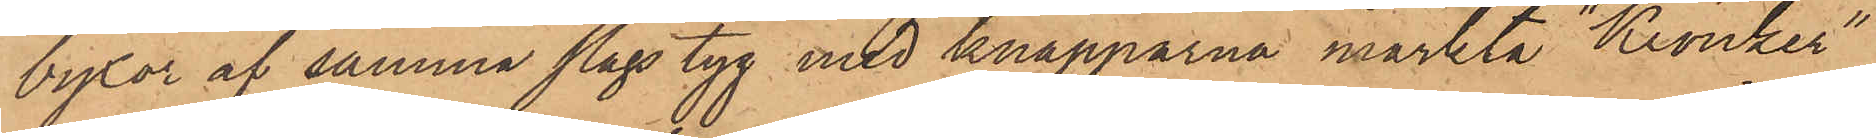byxor af samma slags tyg med knapparna märkta "Kronker"
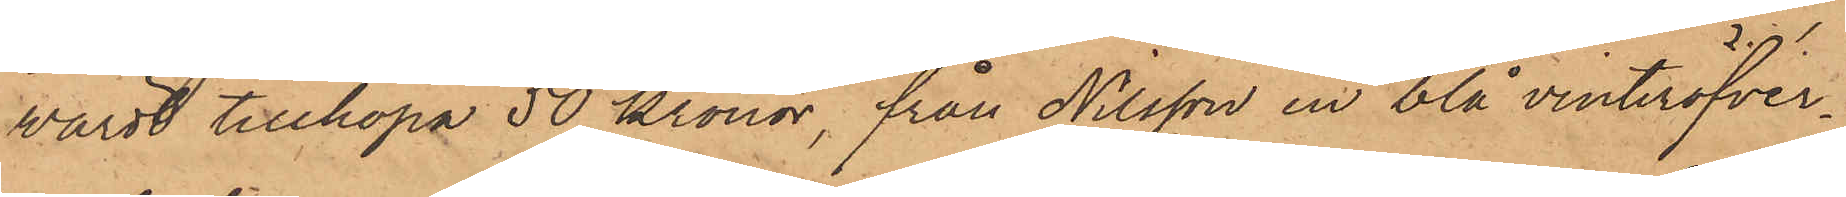värdt tillhopa 50 kronor, från Nilsson en blå vinteröfver¬
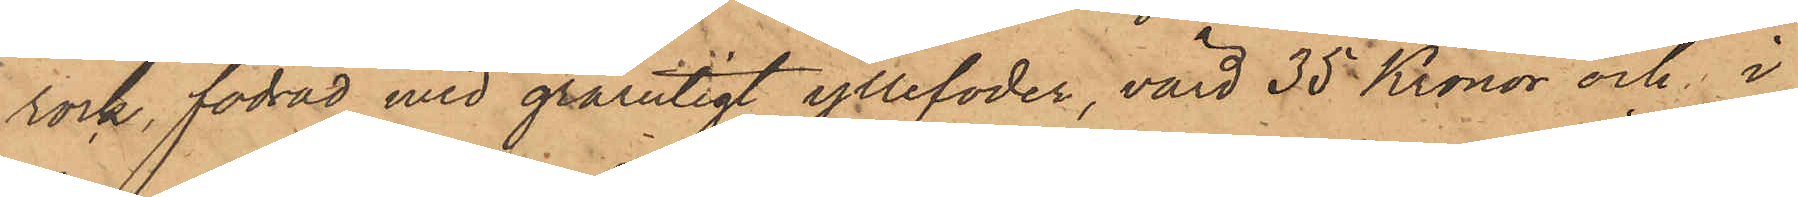rock, fodrad med grårutigt yllefoder, värd 35 Kronor och i
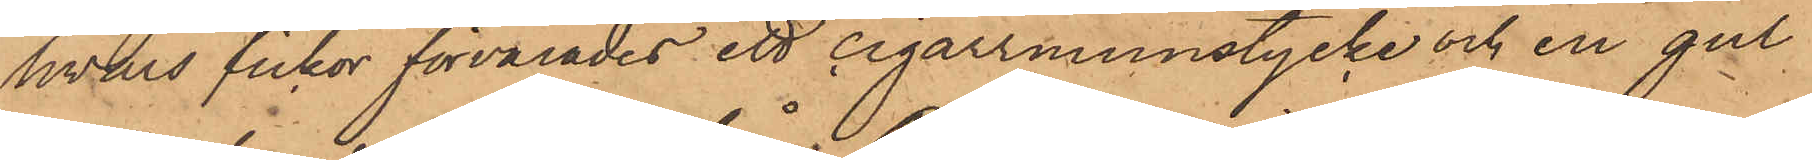hvars fickor förvarades ett cigarrmunstycke och en gul
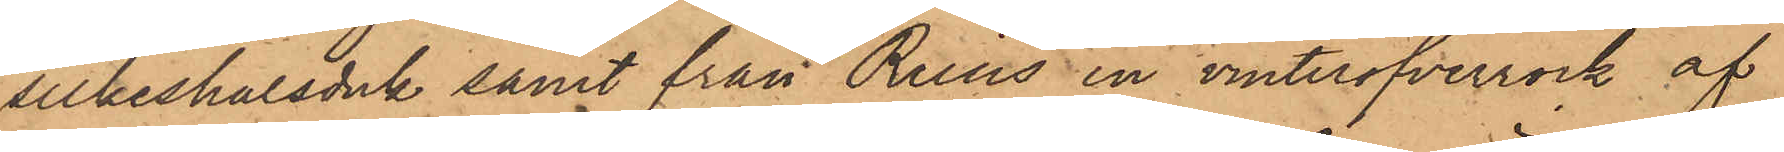silkeshalsduk samt från Reius en vinteröfverrock af
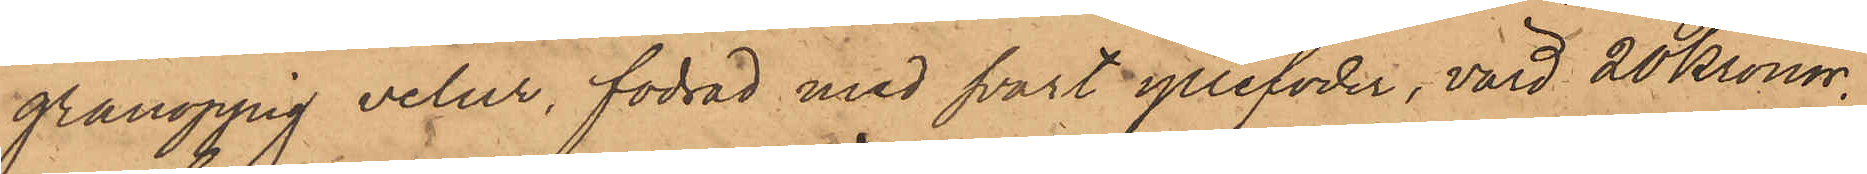grånoppig velur, fodrad med svart yllefoder, värd 20 Kronor,
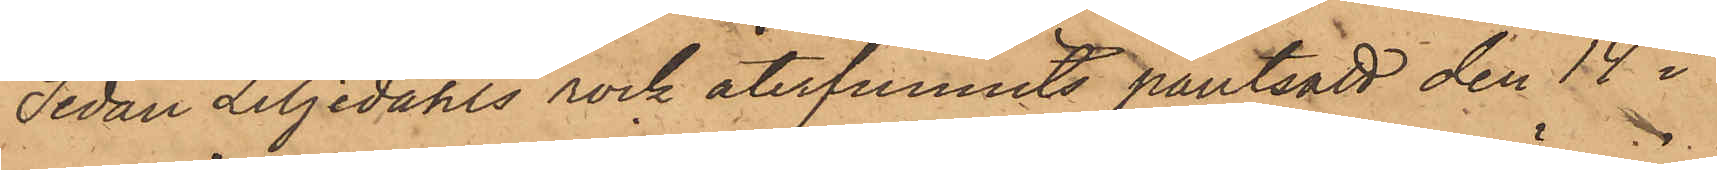Sedan Liljedahls rock återfunnits pantsatt den 14 i
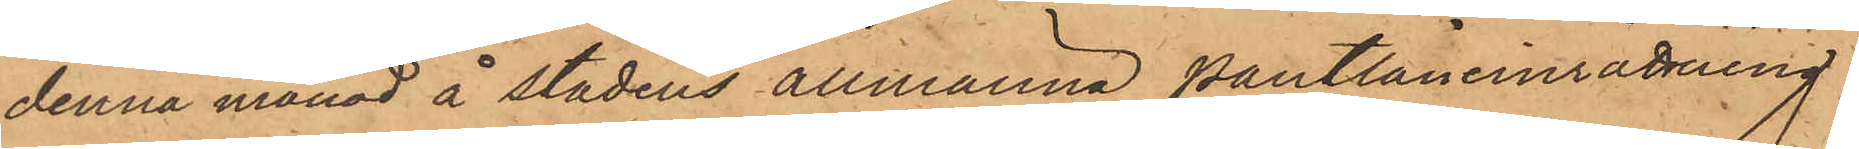denna månad å Stadens allmänna Pantlåneinrättning
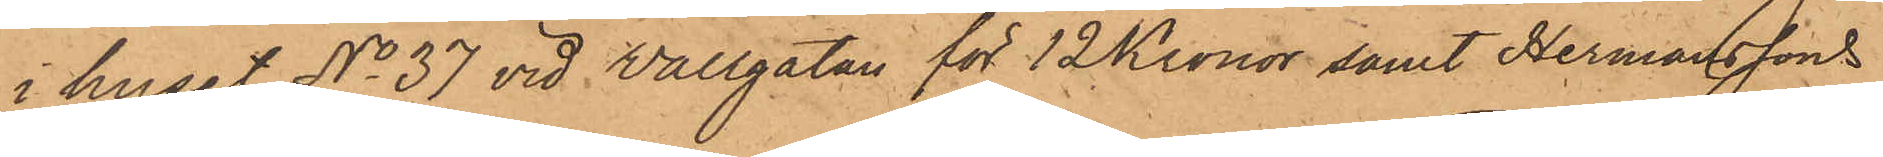i huset No 37 vid Wallgatan för 12 Kronor samt Hermanssons
